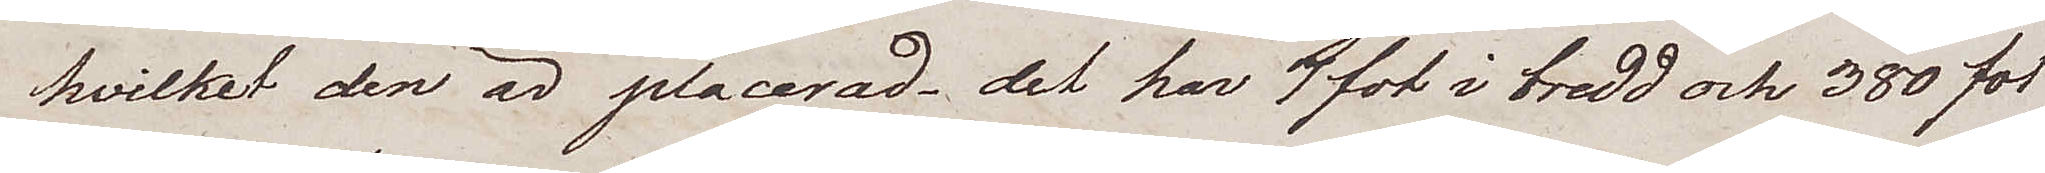hvilket den är placerad – det har 7 fot i bredd och 380 fot
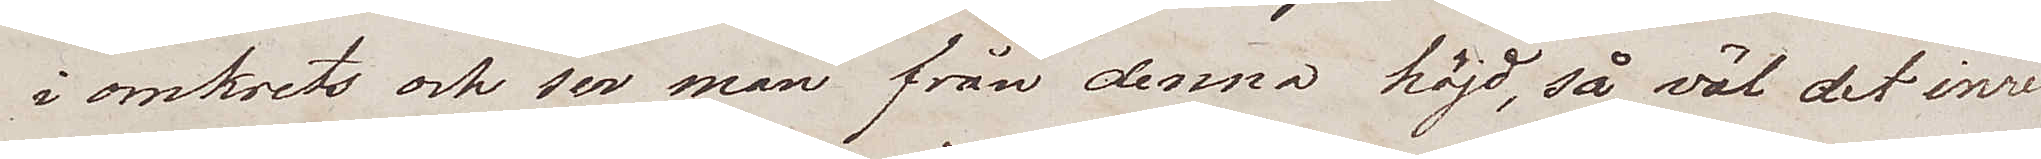i omkrets och ser man från denna höjd, så väl det inre
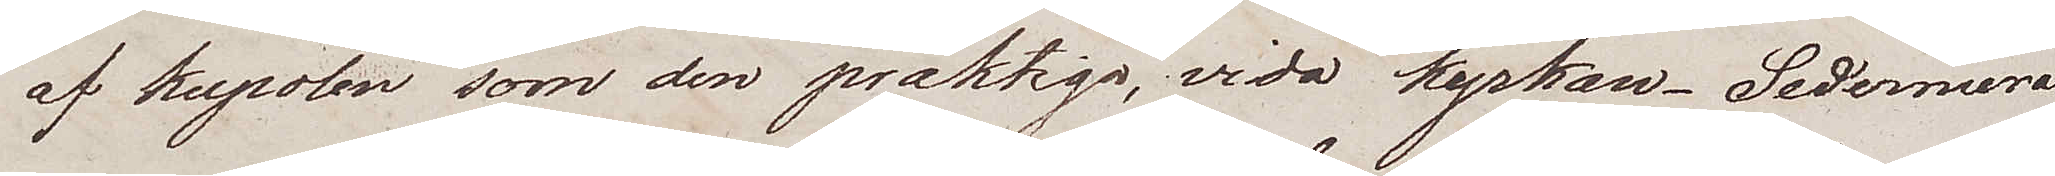af kupolen som den präktiga, vida kyrkan. Sedermera
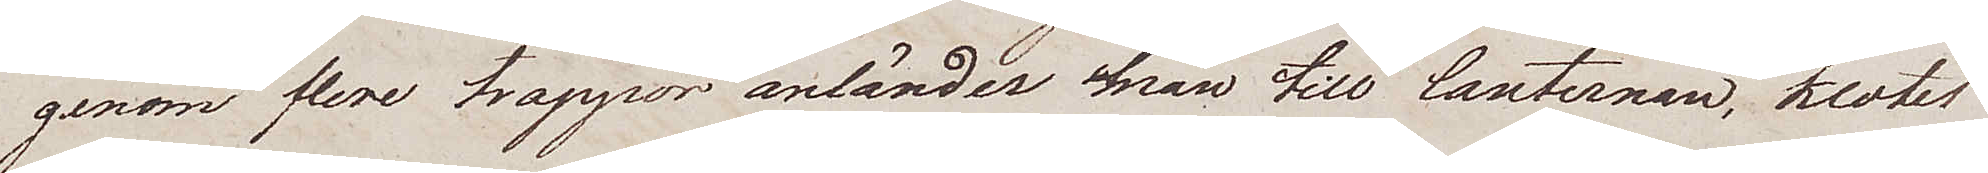genom flere trappor anländer man till lanternan, klotet
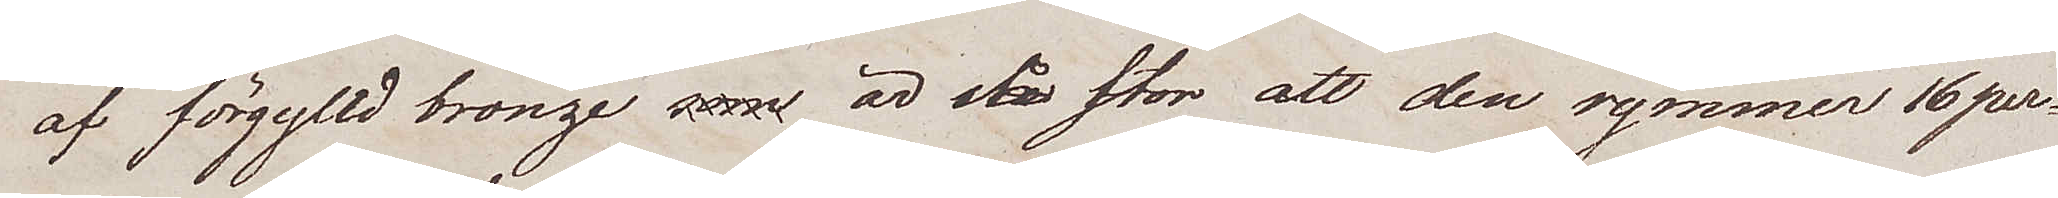af förgylld bronze som är stå stor att den rymmer 16 per¬
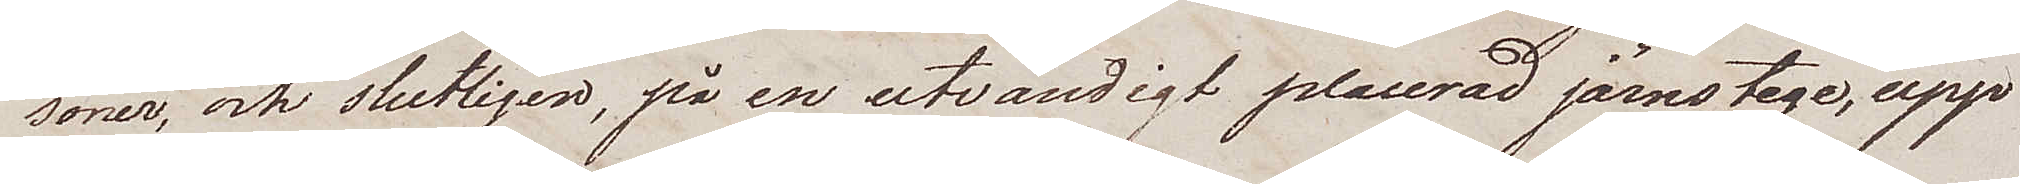soner, och slutligen, på en utvändigt placerad järnstege, upp¬
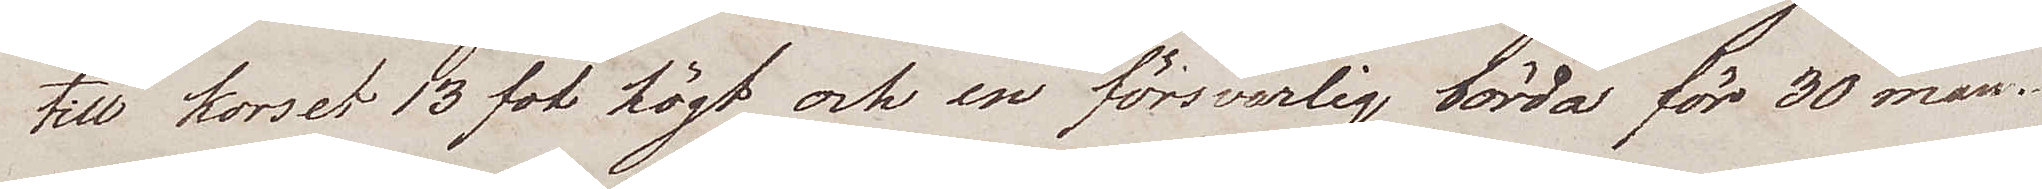till korset 13 fot högt och en försvarlig börda för 30 man.
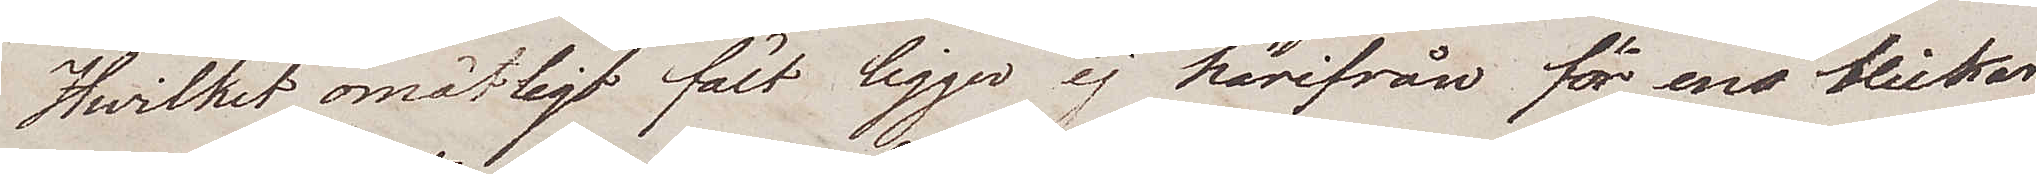Hwilket omätligt fält ligger ej härifrån för ens blickar.
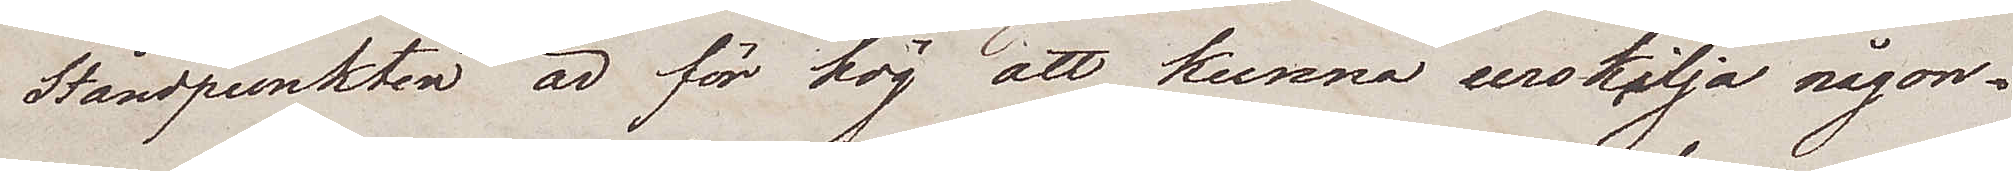Ståndpunkten är för hög att kunna urskilja någon¬
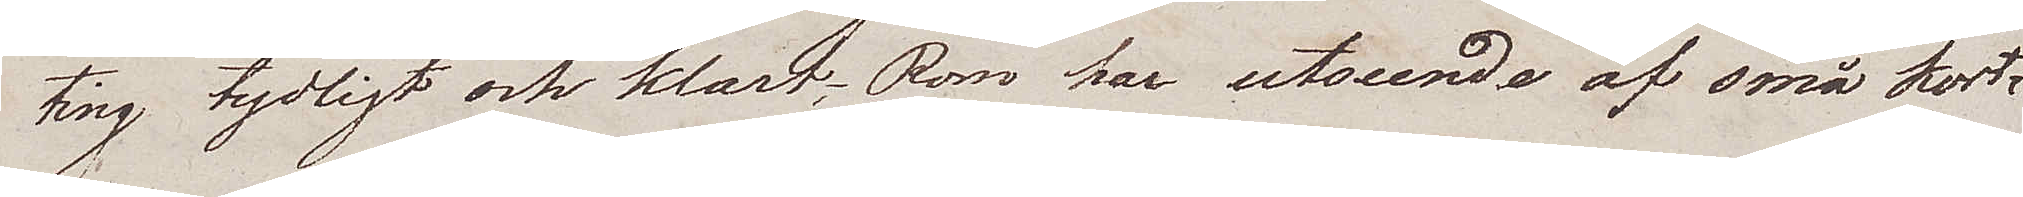ting tydligt och klart; Rom har utseende af små kort¬
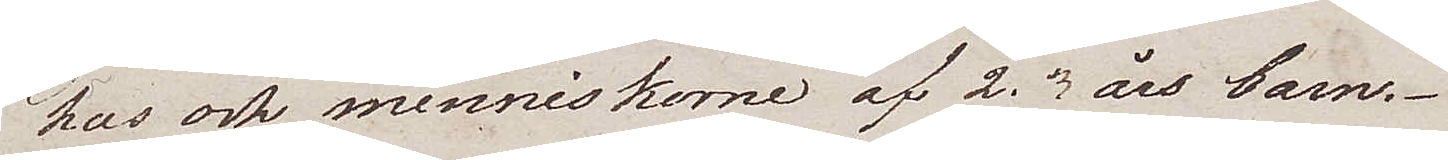hus och menniskorne af 2. 3 års barn.
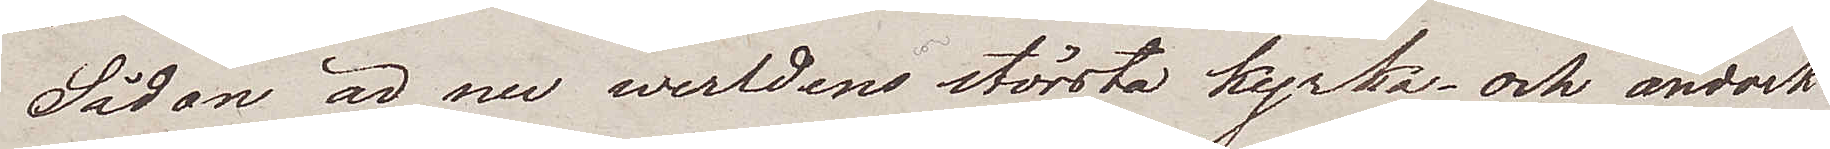Sådan är nu werldens största kyrka – och ändock
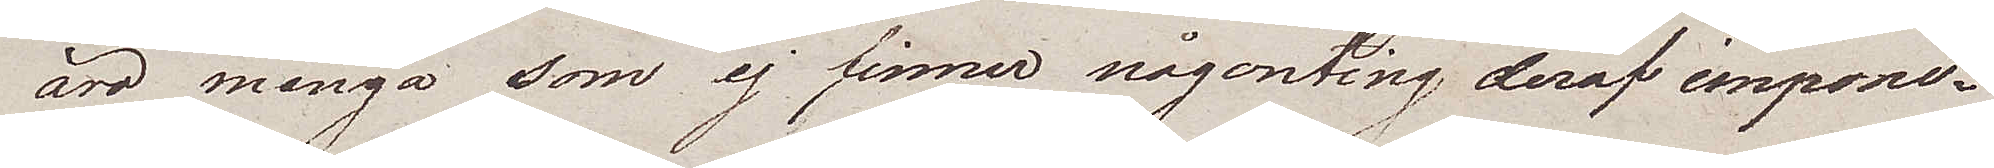äro många som ej finner någonting deraf impone¬
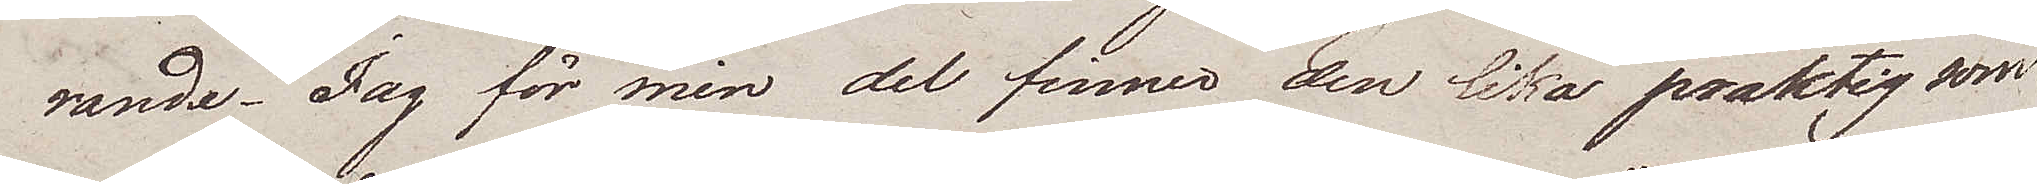rande. Jag för min del finner den lika präktig som
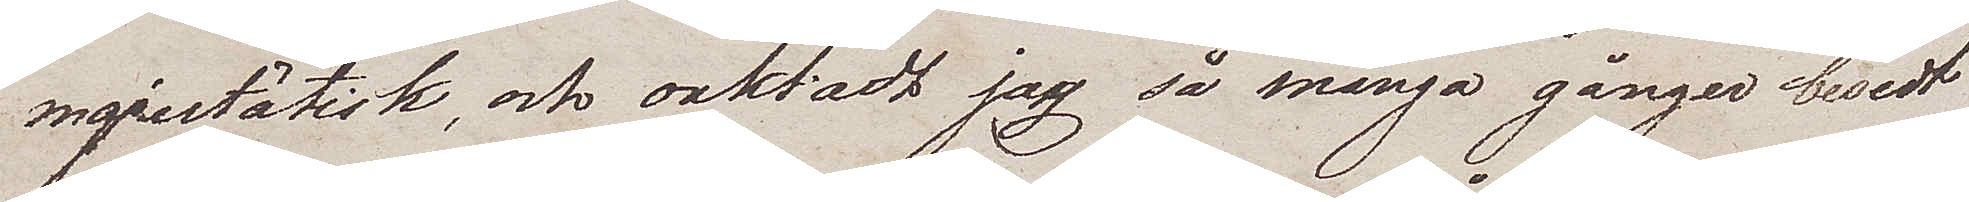majestätisk, och oaktadt jag så många gånger besedt
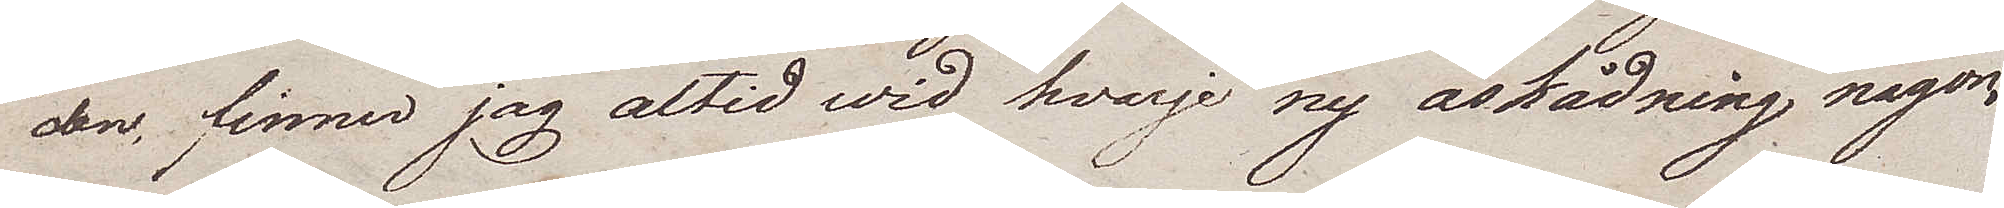den, finner jag altid wid hvarje ny åskådning någon¬
